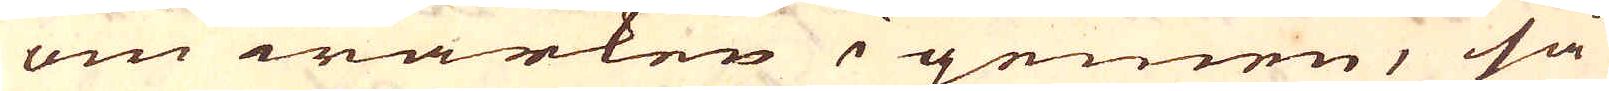om wärken i gemen, så
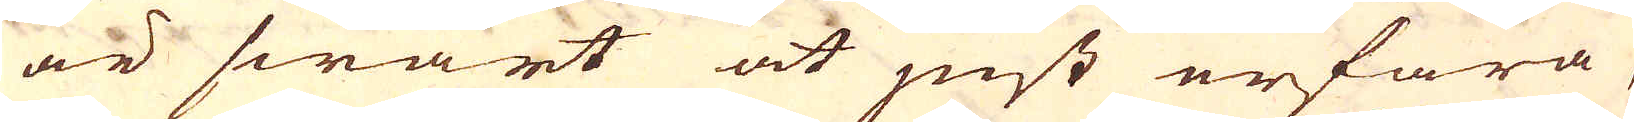är swårt at just erfara
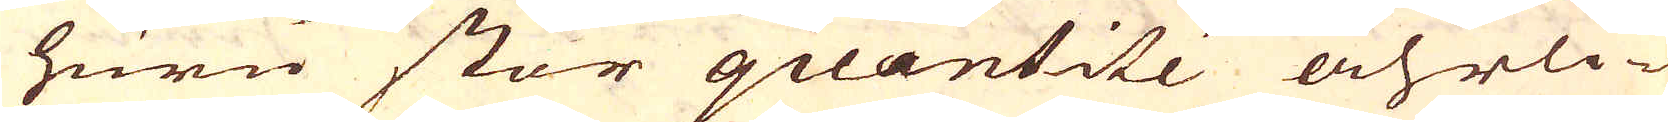huru stor quantité åhrli-
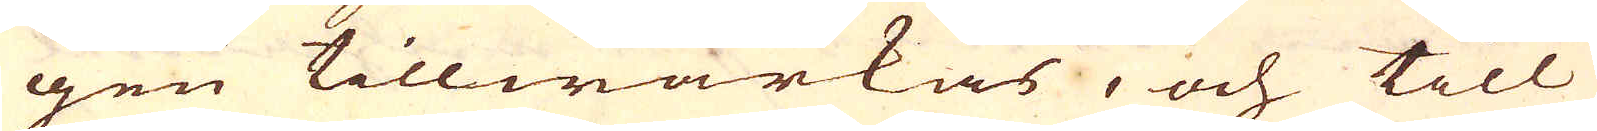gen tillwärkas, och till
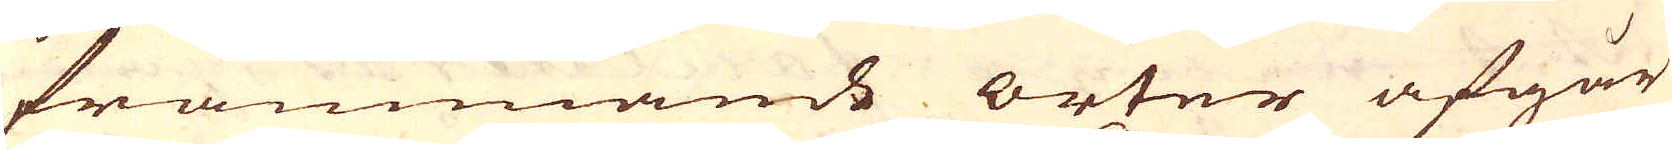främmande orter afgår
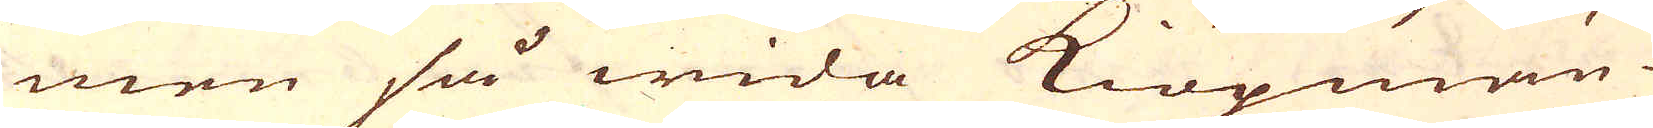men så wida Kiöpmän-
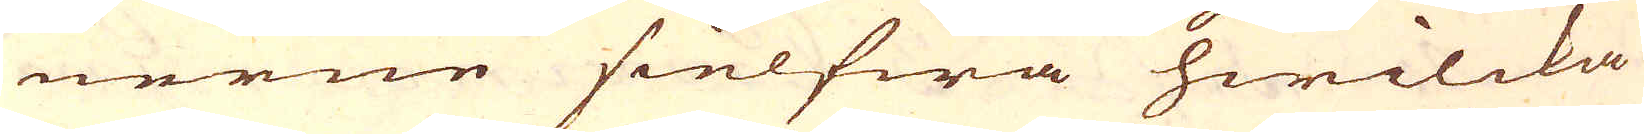nerne sielfwa hwilcka
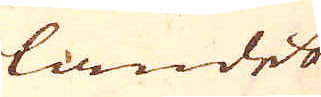landet
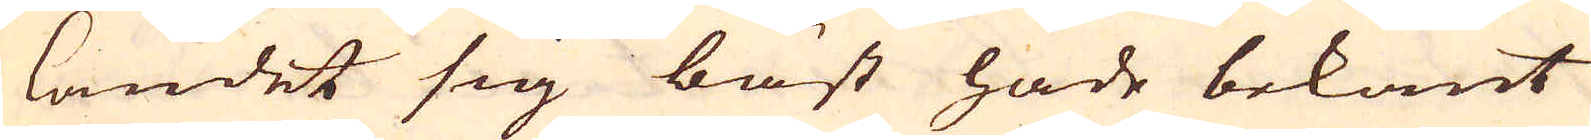landet sig bäst hade bekant
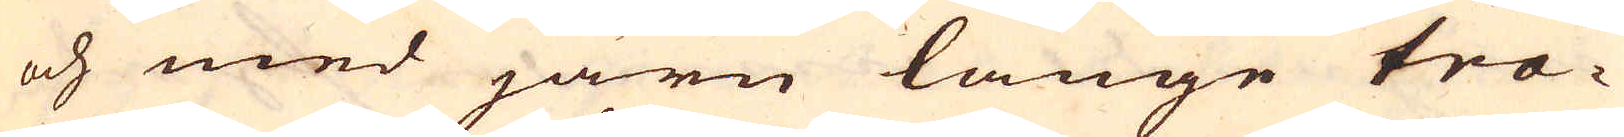och med järn länge tra-
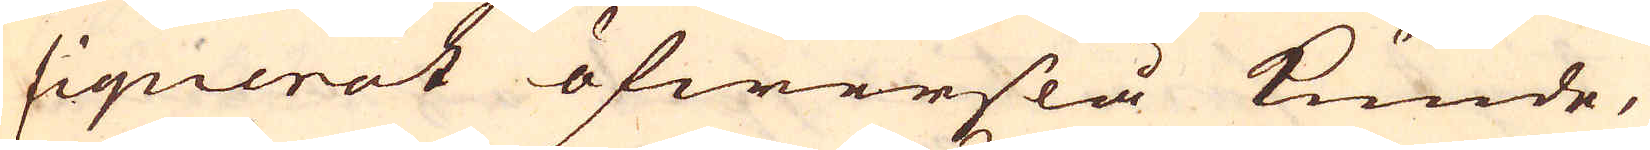fiquerat öfwerslå kunde,
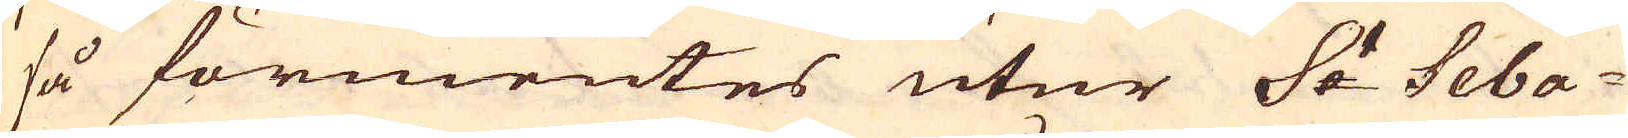så förmentes utur S:t Seba-
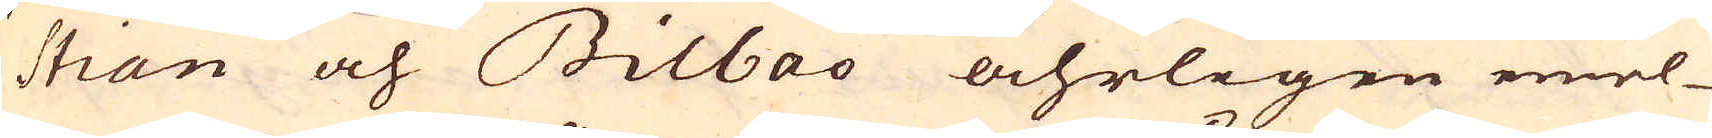stian och Bilbao åhrligen emel-
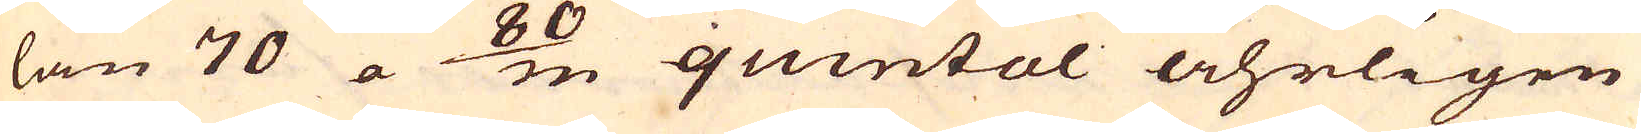lan 70 a 80/m quintal åhrligen
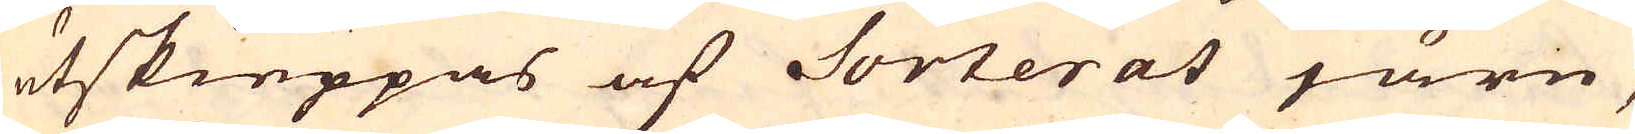utskieppas af Sorterat järn,
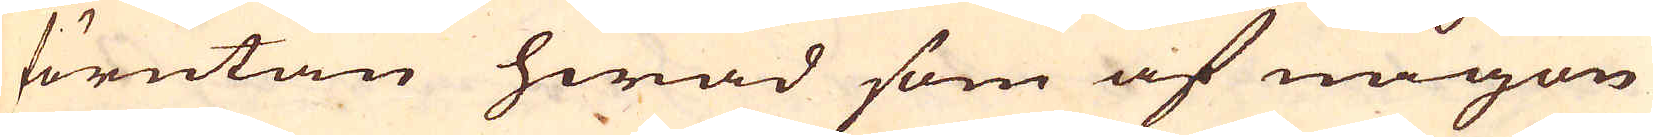förutan hwad som af någon
